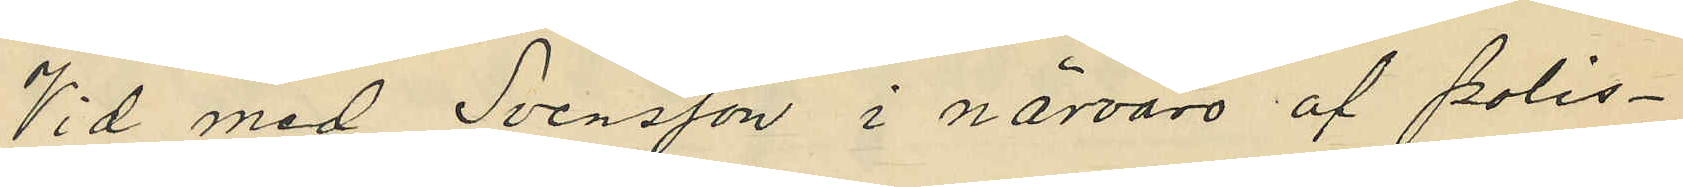Vid med Svensson i närvaro af polis¬
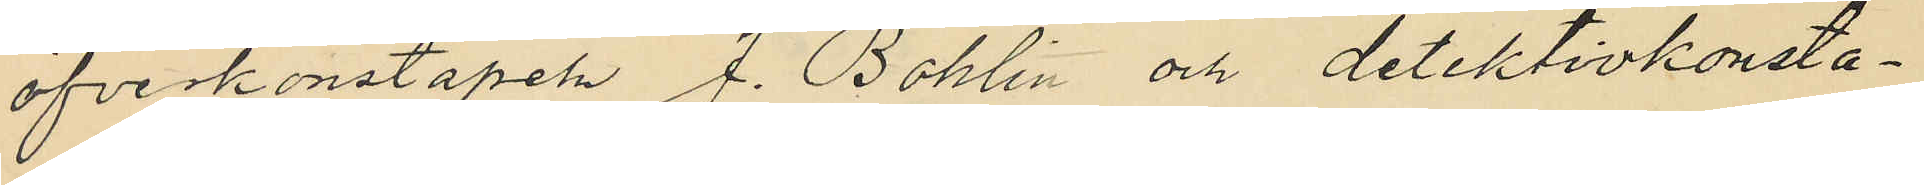öfverkonstapeln J. Bohlin och detektivkonsta¬
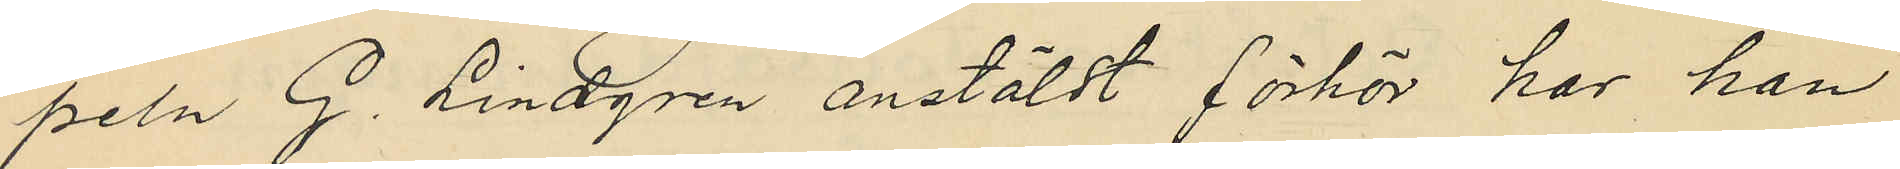peln G. Lindgren anstäldt förhör har han
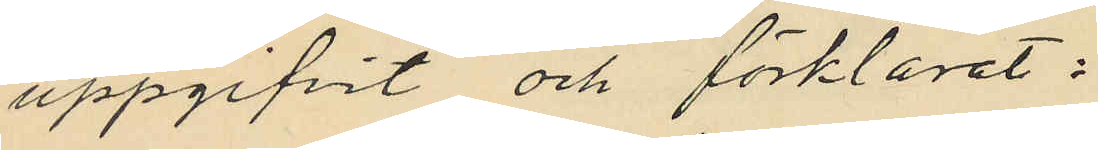uppgifvit och förklarat:
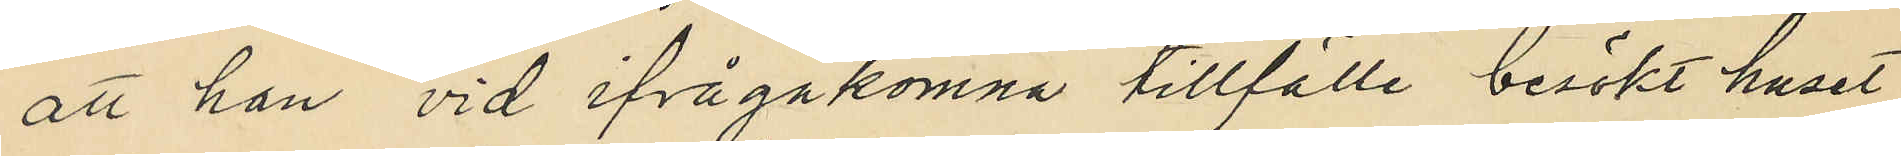att han vid ifrågakomna tillfälle besökt huset
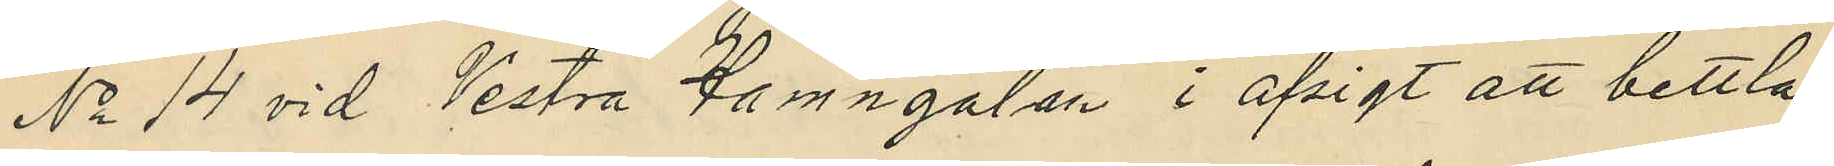No 14 vid Vestra Hamngatan i afsigt att bettla
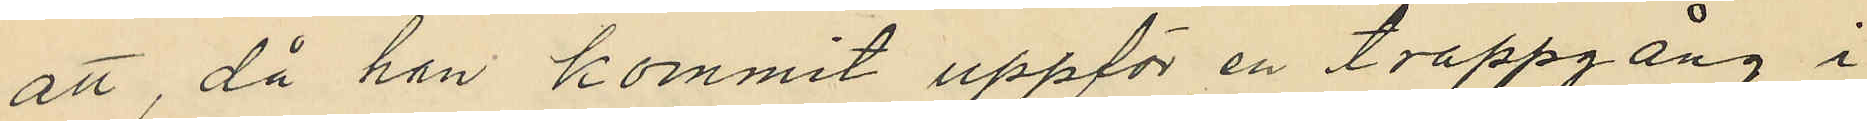att, då han kommit uppför en trappgång i
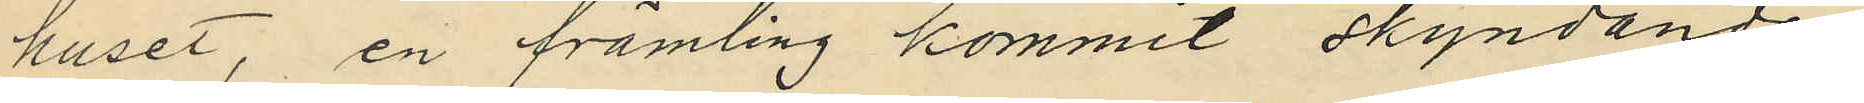huset, en främling kommit skyndande
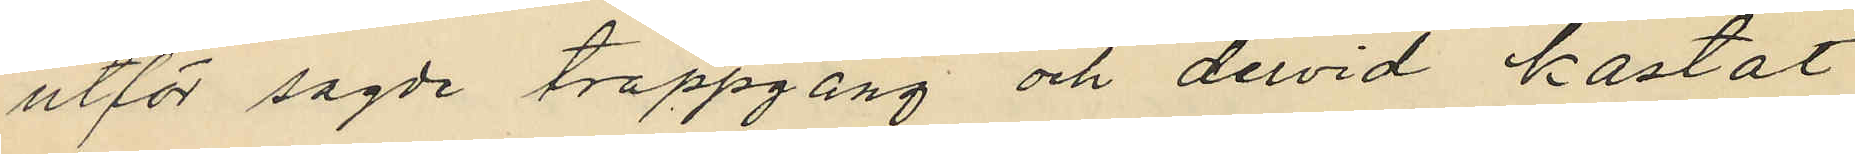utför sagde trappgång och dervid kastat
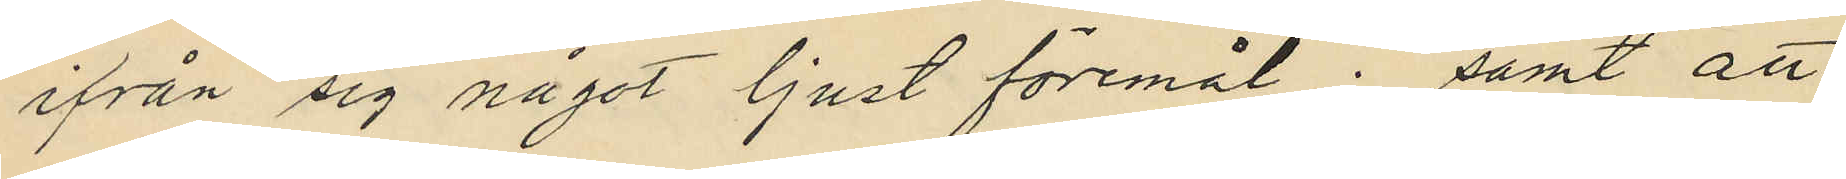ifrån sig något ljust föremål; samt att
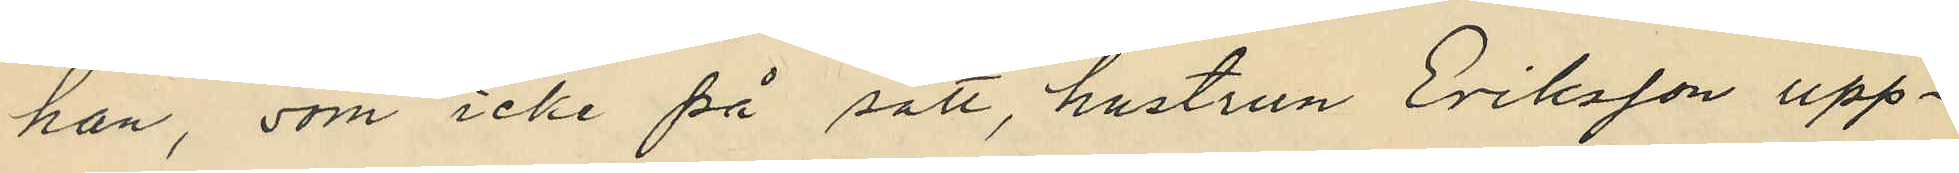han, som icke på sätt, hustrun Eriksson upp¬
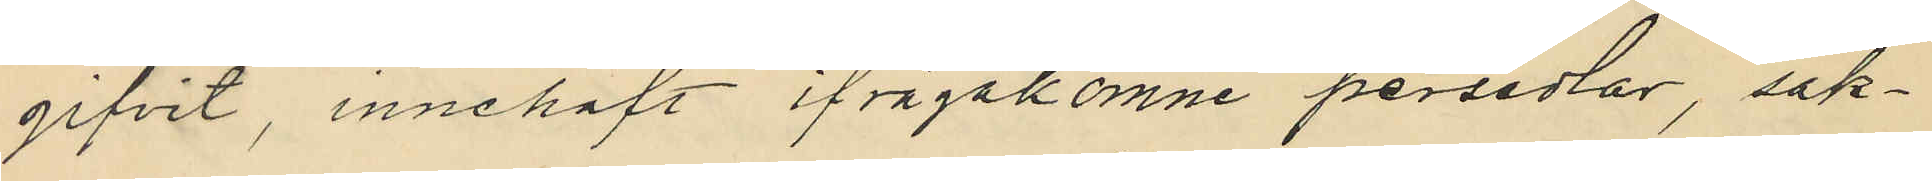gifvit, innehaft ifrågakomne persedlar, sak¬
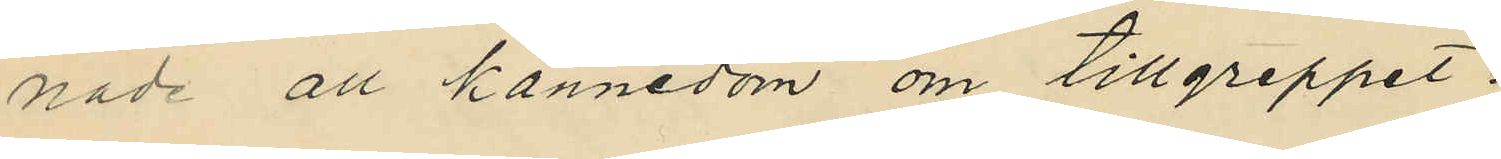nade all kännedom om tillgreppet.
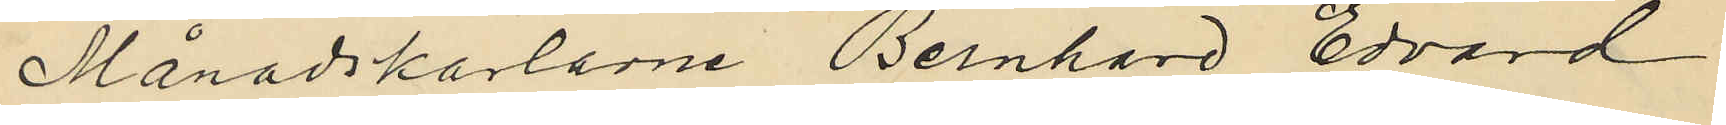Månadskarlarne Bernhard Edvard
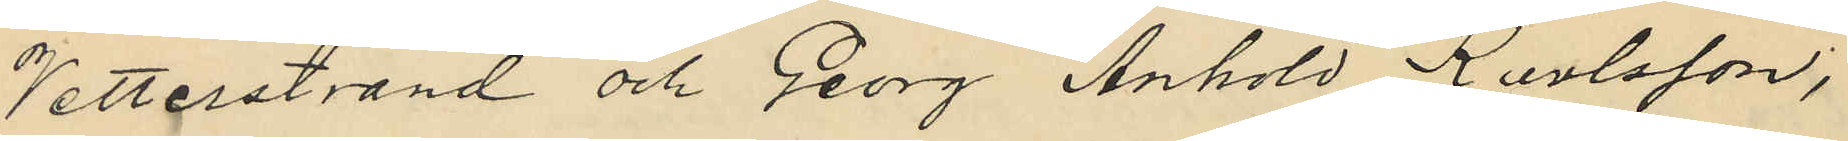Vetterstrand och Georg Anhold Karlsson;
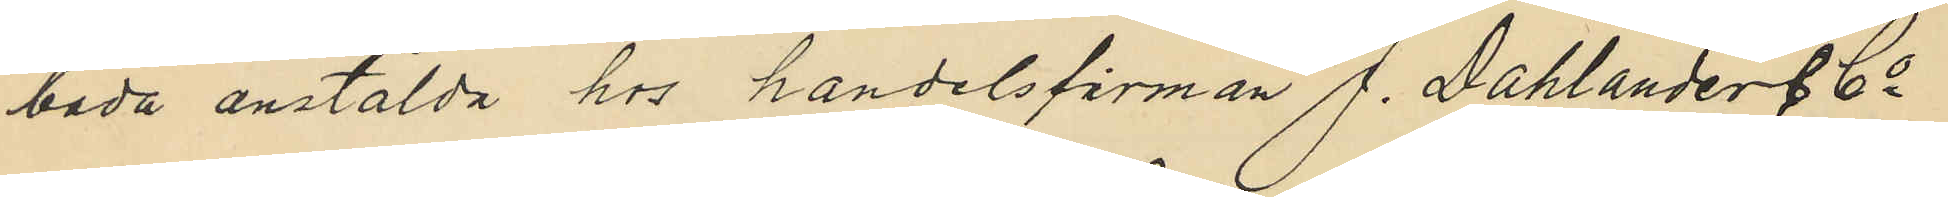båda anstälda hos handelsfirman J. Dahlander & Co
